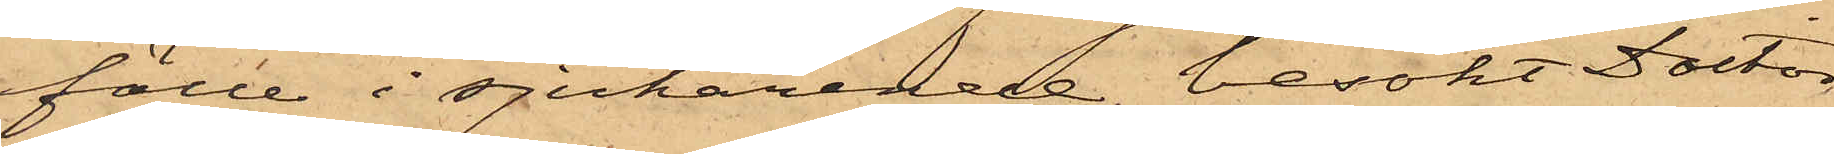fälle i sjukärende besökt Doctor
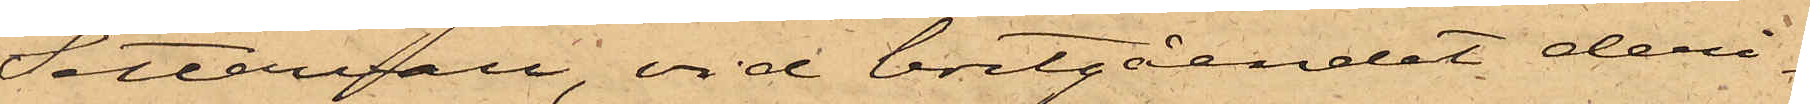Settervall, vid bortgåendet deri¬
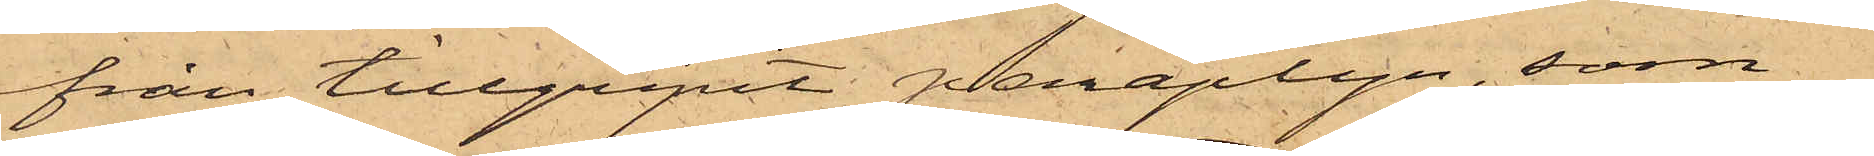från tillgripit paraplyn, som
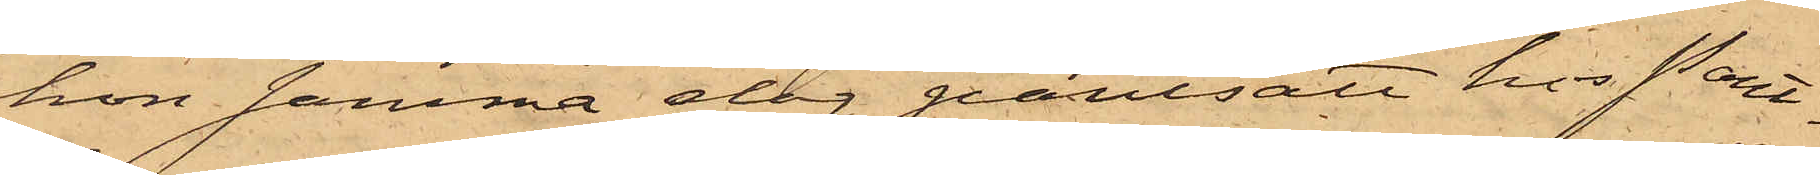hon samma dag pantsatt hos Pant¬
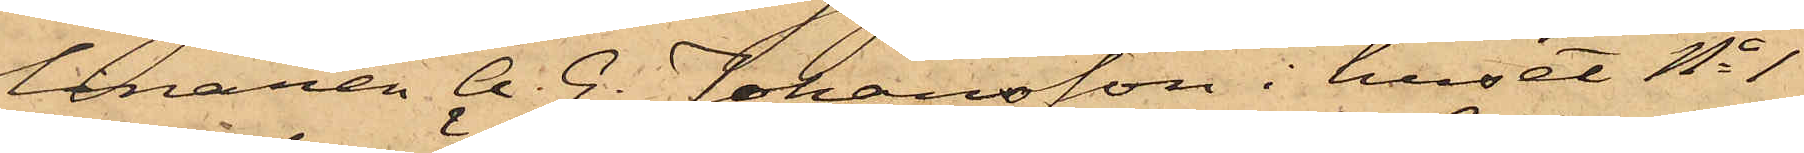lånaren A. G. Johansson i huset No 1
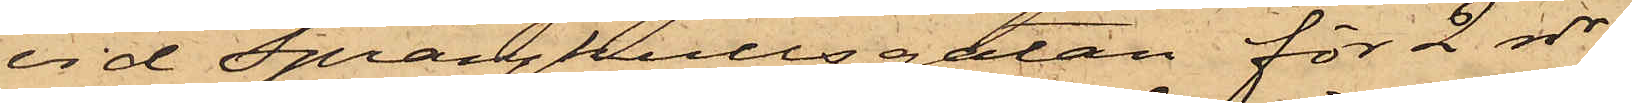vid Sprängkullsgatan för 2 rdr.
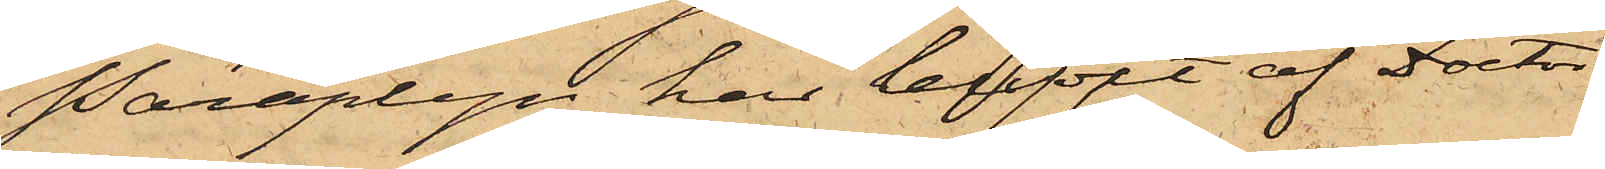Paraplyn har blifvit af Doctor
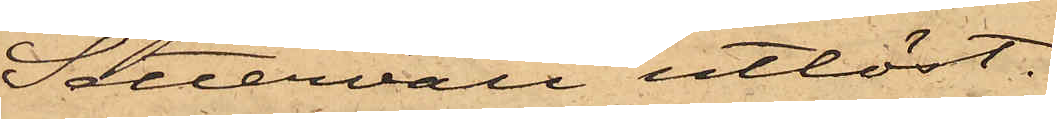Settervall utlöst.
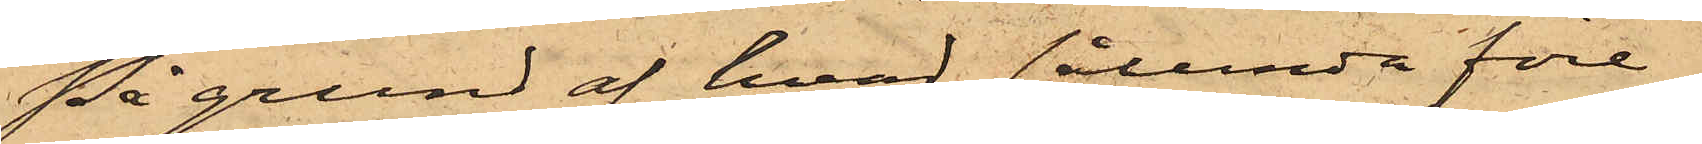På grund af hvad sålunda före¬
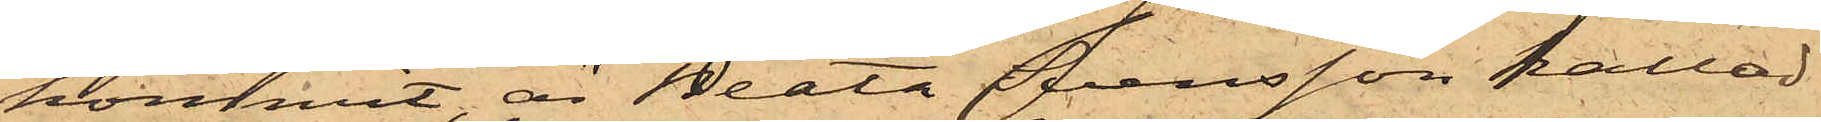kommit, är Beata Svensson kallad
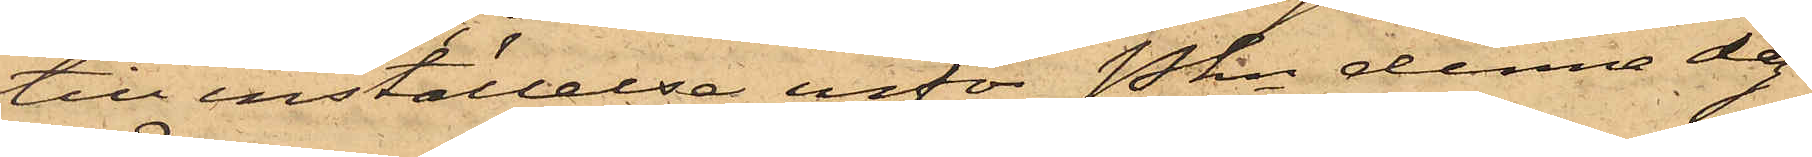till inställelse inför Pkn denna dag.
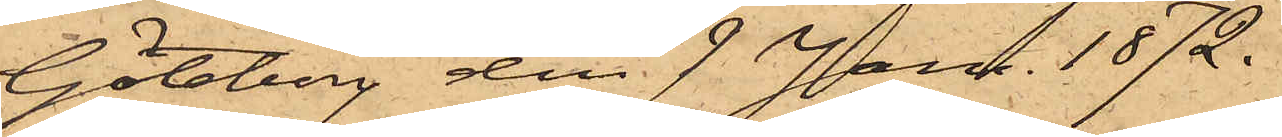Göteborg den 9 Jan. 1872.
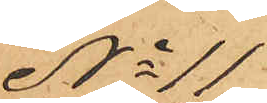No 11
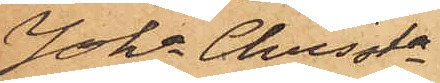Joha Christa
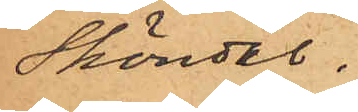Sköndal.
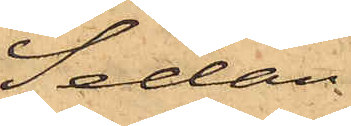Sedan
